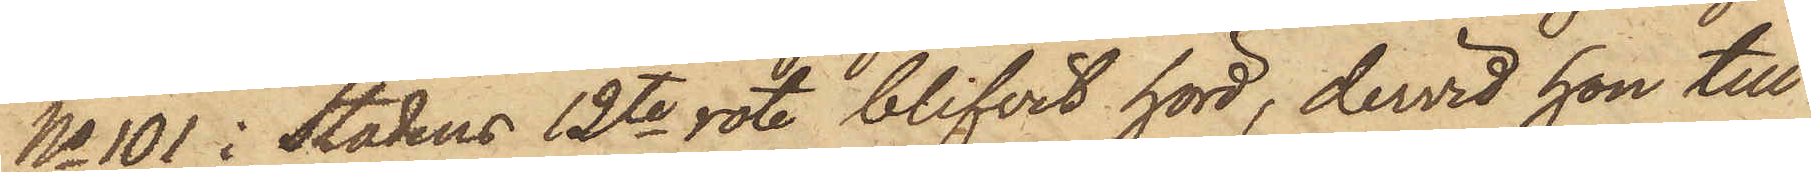No 101 i Stadens 12te rote, blifvit hörd, dervid hon till
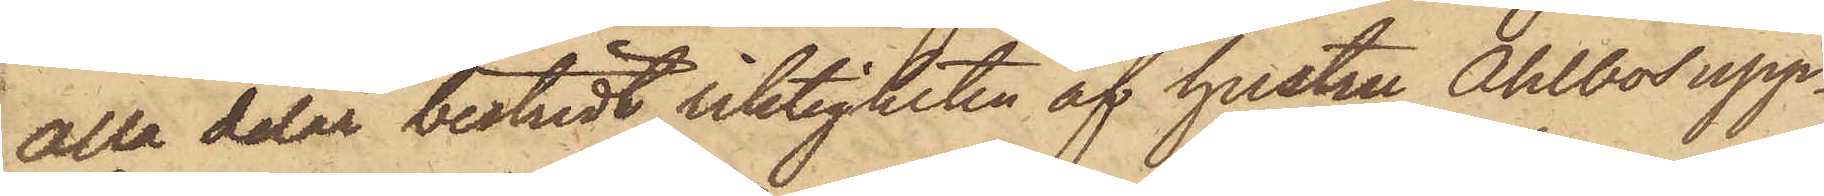alla delar bestridt riktigheten af hustru Ahlbos upp¬
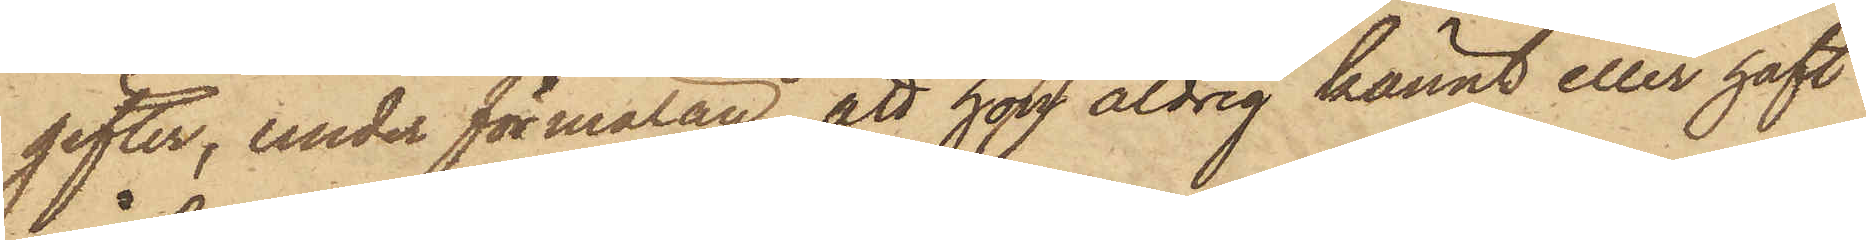gifter, under förmälan, att han aldrig kännt eller haft
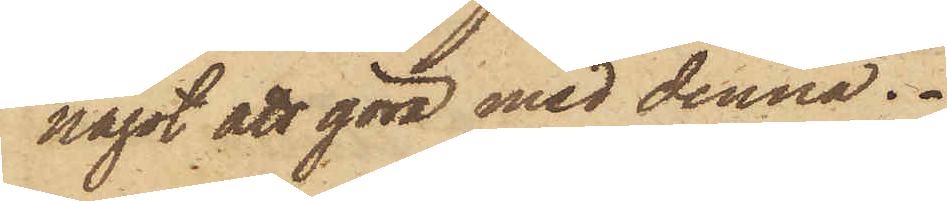något att göra med denna.
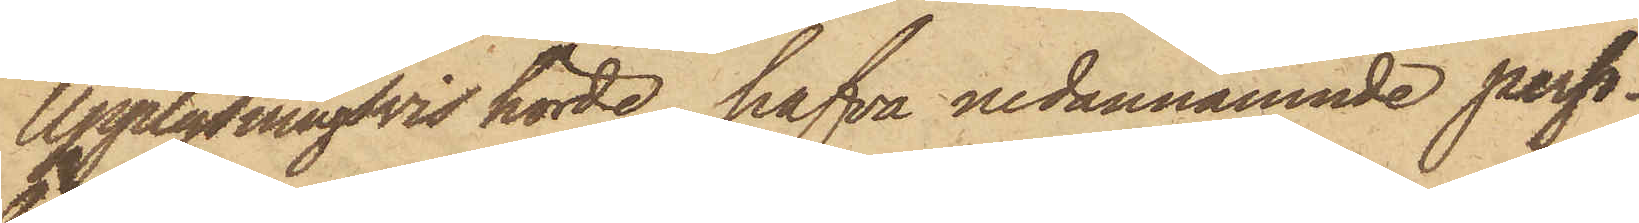Upplysningsvis hörde, hafva nedannämnde perso¬
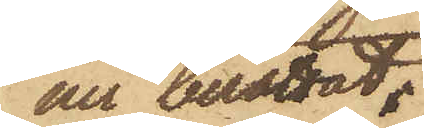ner berättat:
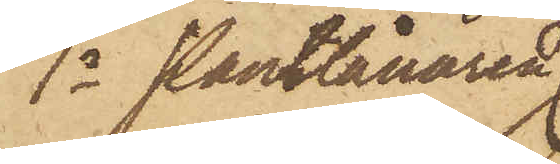1o Pantlånaren
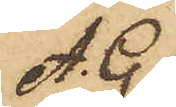A. G.
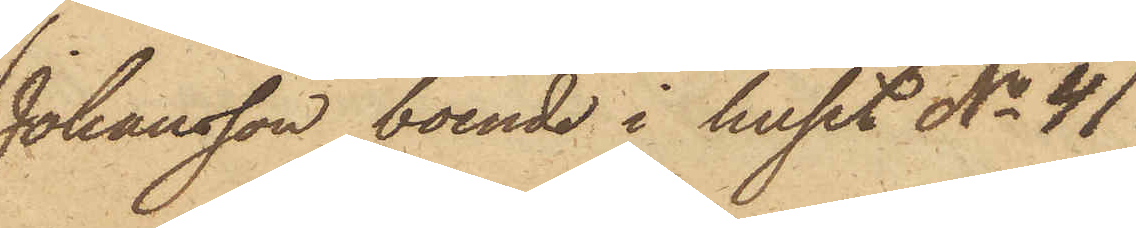Johansson, boende i huset No 41
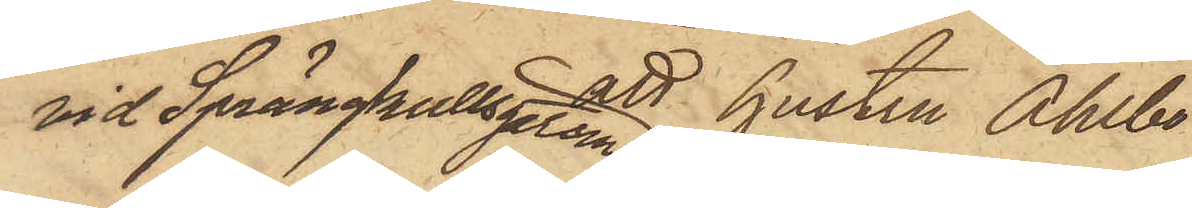vid Sprängkullsgatan att hustru Ahlbo
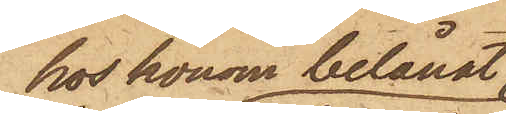hos honom belånat
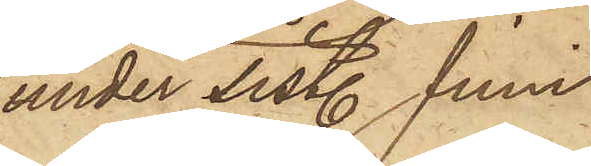under sistl. Juni
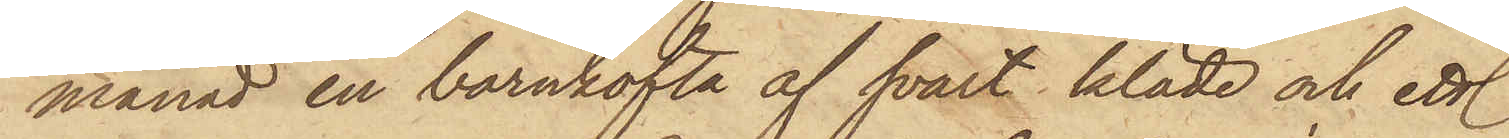månad en barnkofta af svart kläde och ett
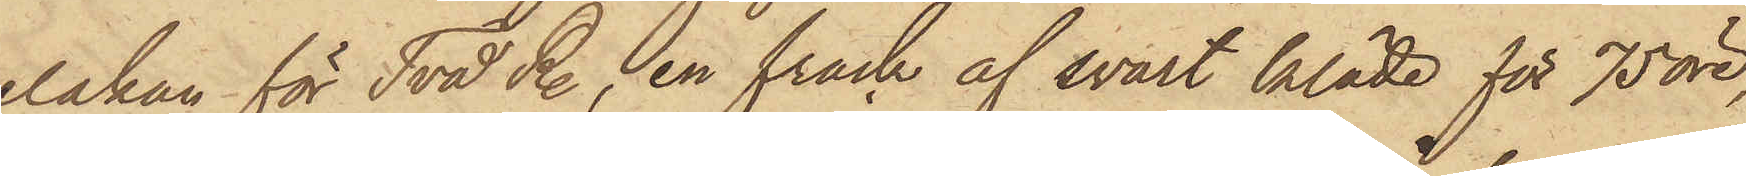lakan för Två R., en frack af svart kläde för 75 öre,
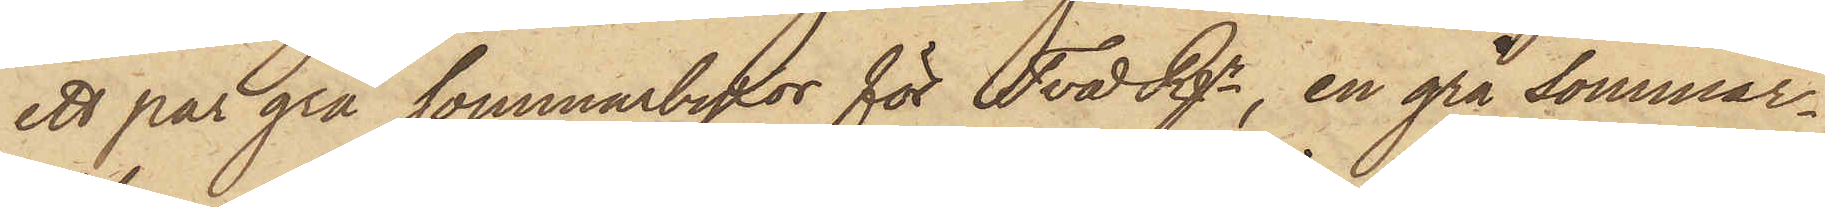ett par grå sommarbyxor för Två Rgr, en grå sommar¬
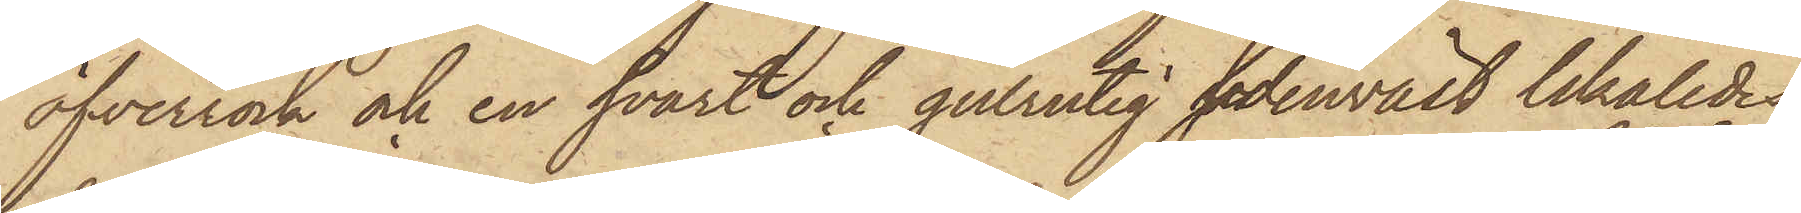öfverrock och en svart och gulrutig sidenväst likaledes
